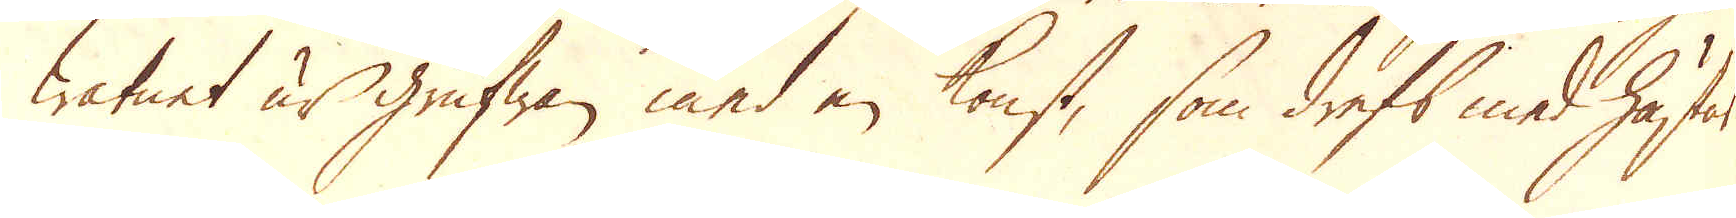watnet ur Grufwan med en konst, som drefs med hästar
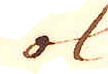ok
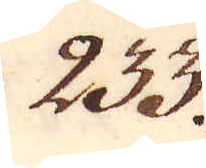233.
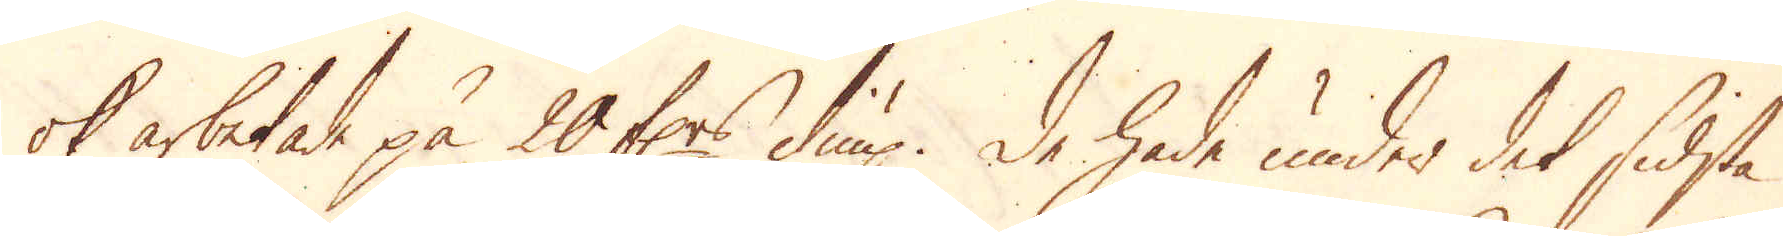ok arbetade på 20 fr:s diup. De hade under det sidsta
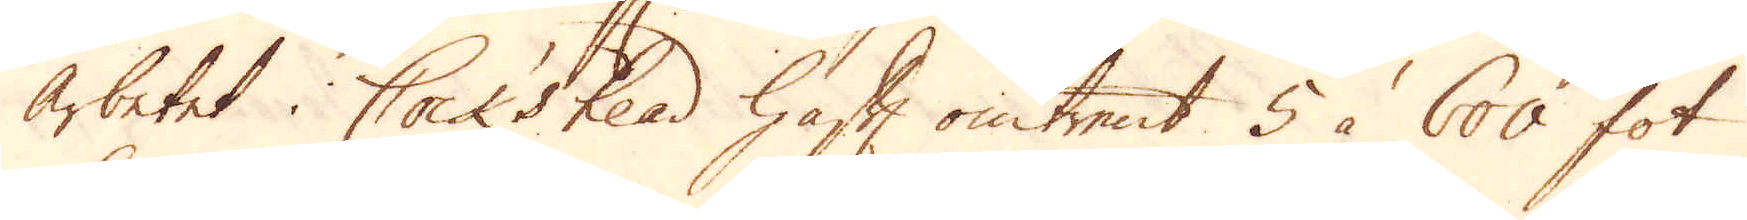arbetet i Cockshead haft omtrent 5 à 600 fot
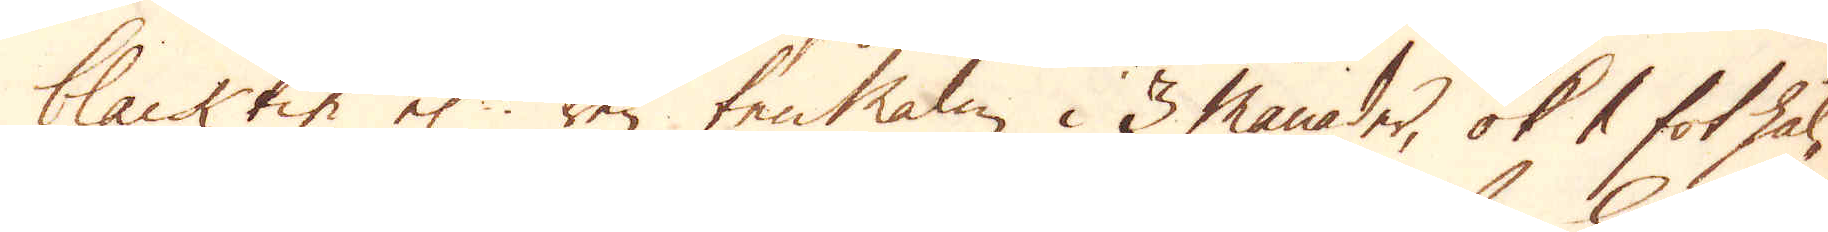blacktin el:r ren tenMalm i 3 månader, ok 1 fot hål-
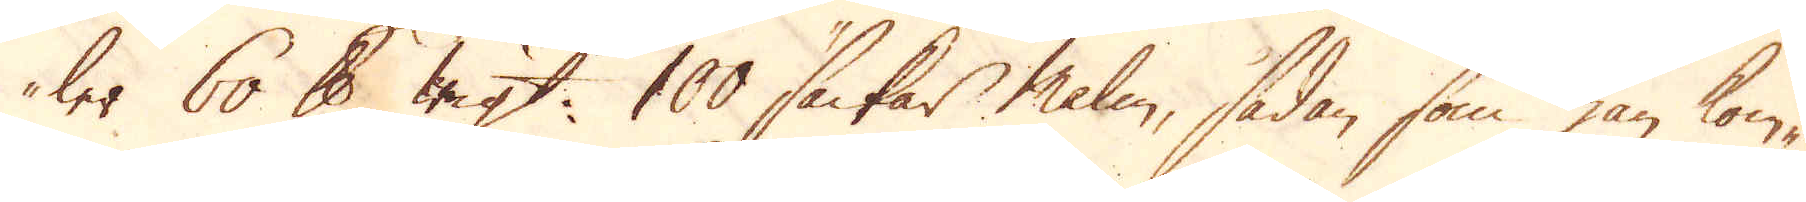ler 60 skålpund wigt. 100 säckar malm, sådan som han kom-
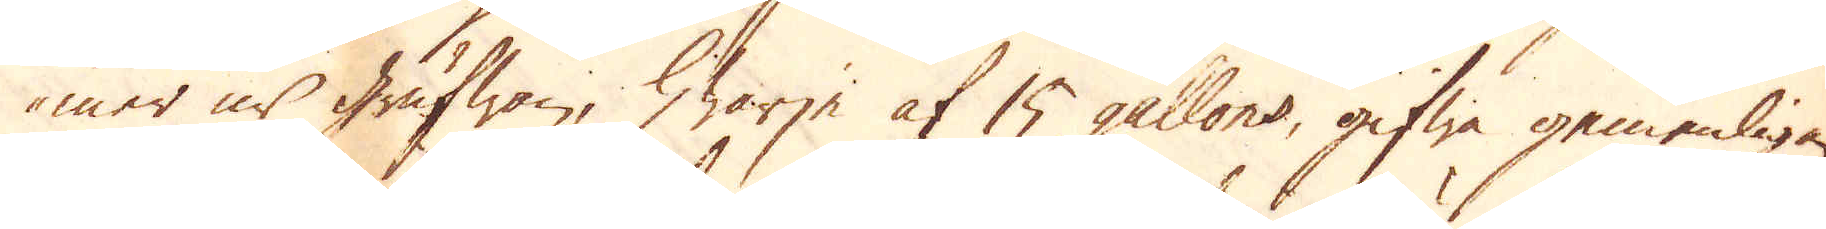mer ur Grufwan, hwarje af 15 gallons, gifwa gemenligen
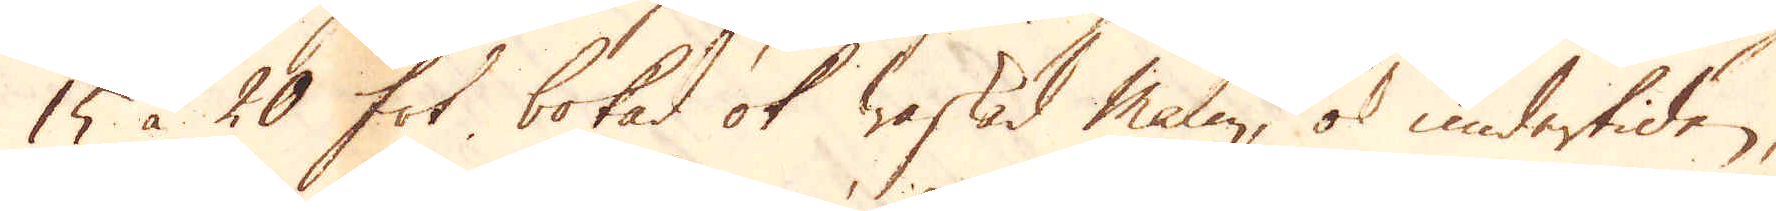15 à 20 fot bokad ok waskad malm, ok undertiden,
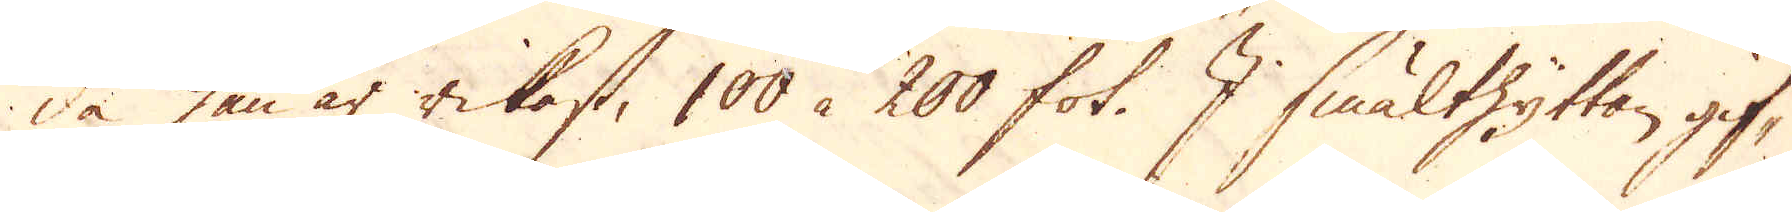då han är rikast, 100 à 200 fot. I smälthyttan gif-
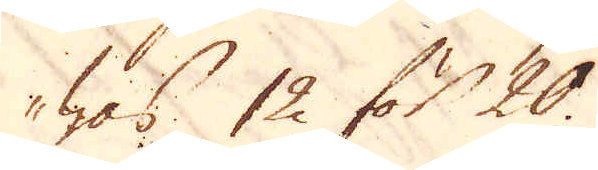was 12 för 20.
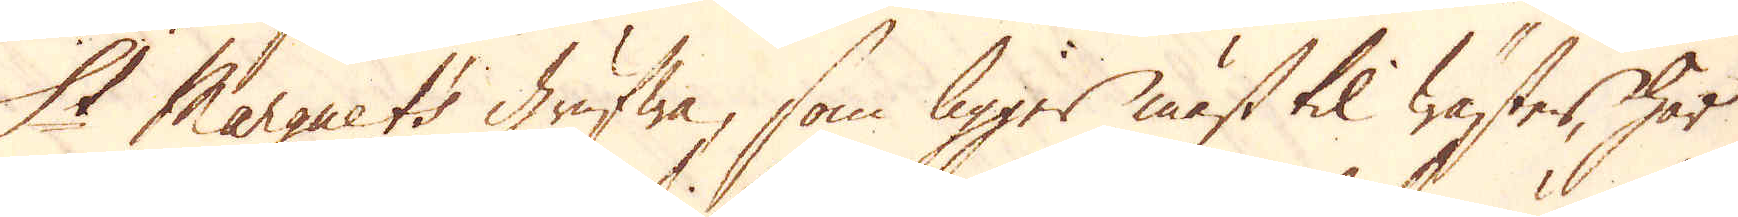St Marguets grufwa, som ligger mäst til wäster, har
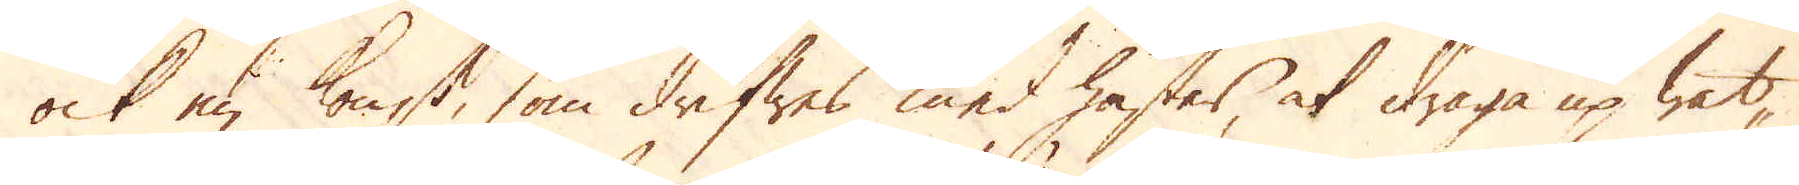ock en konst, som drifwes med häster, at draga up wat-
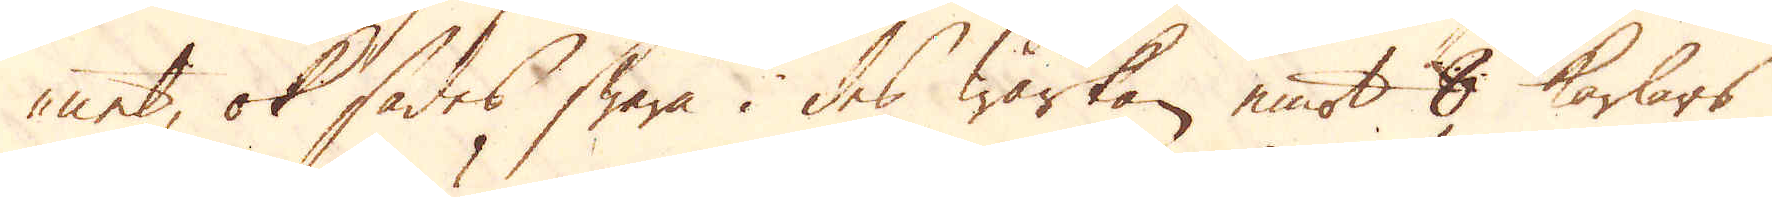net, ok sades swara i des wärkan emot 8 karlars
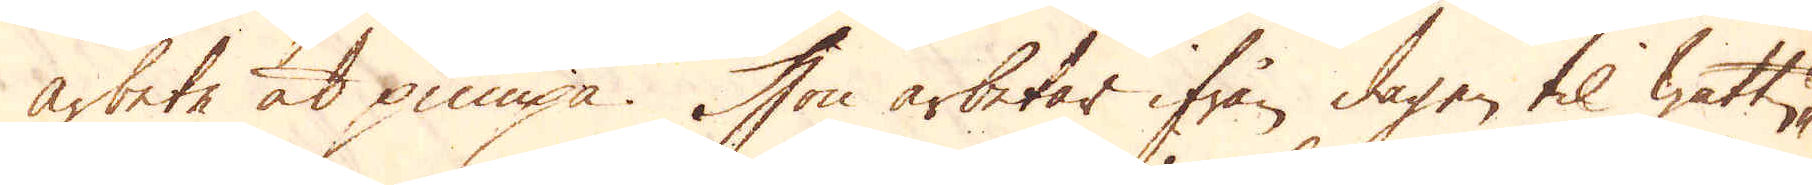arbete at pumpa. Hon arbetar ifrån dagen til wattu-
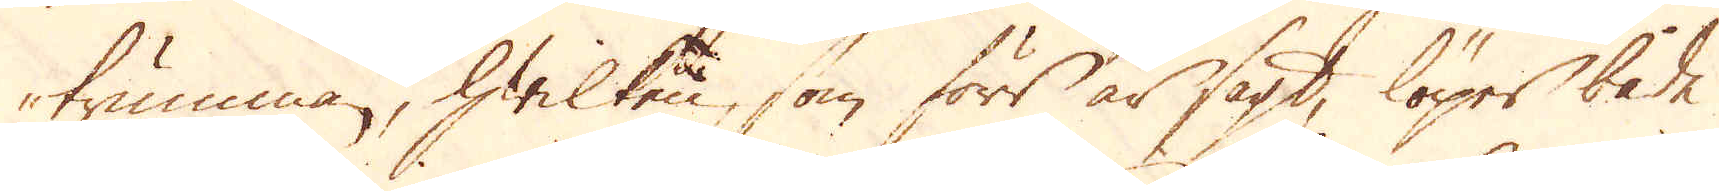trumman, hwilken, som förr är sagt, löper både
